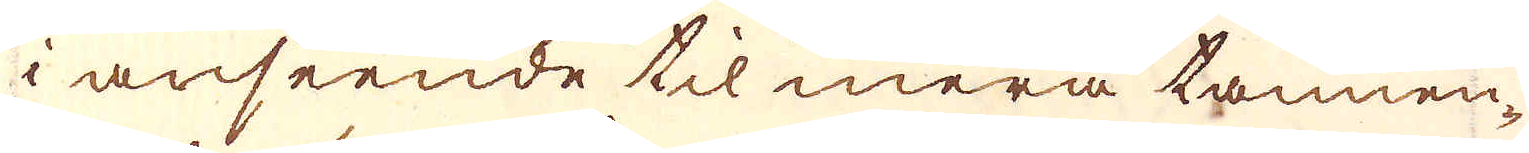i anseende til mera tannen-
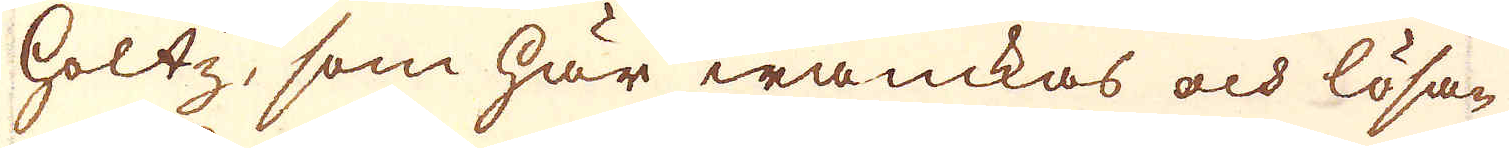holtz, som här wanckas och lösa-
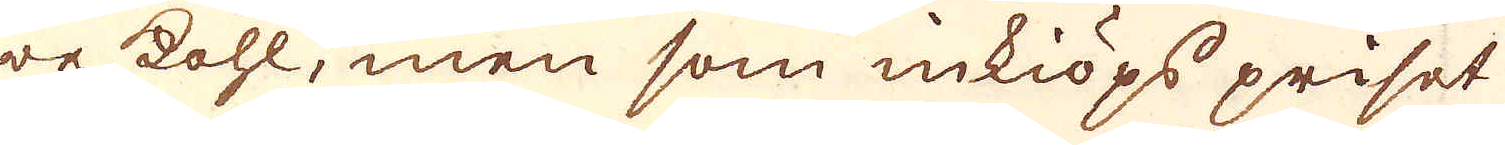re kohl, men som inkiöps priset
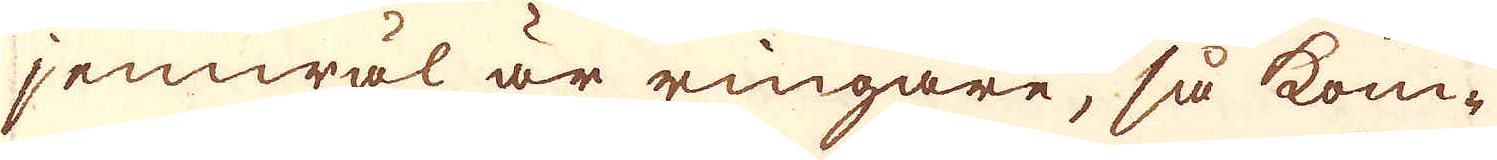jemwäl är ringare, så kom-
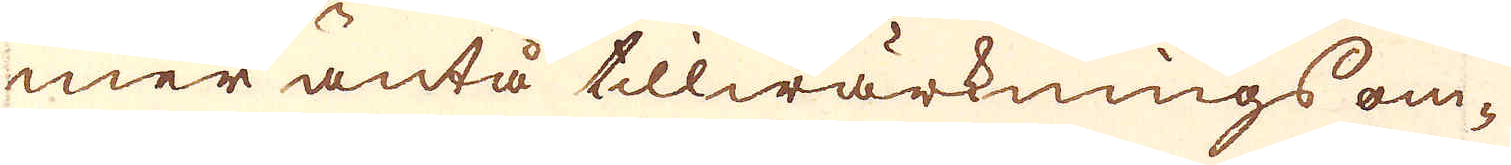mer äntå tillwärknings om-
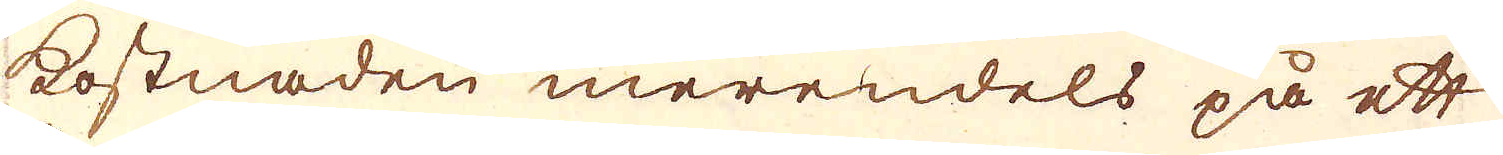kostnaden merendels på ett
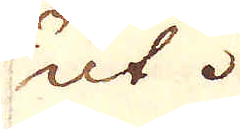ut.
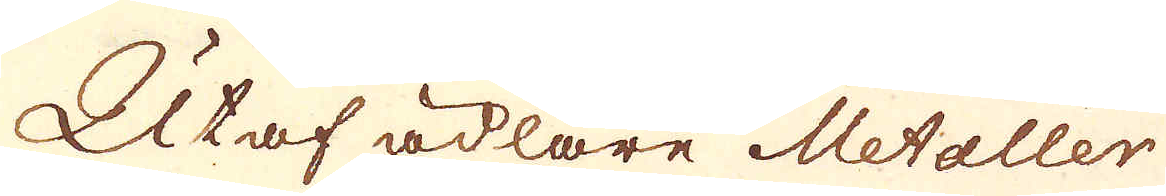Utaf ädlare Metaller
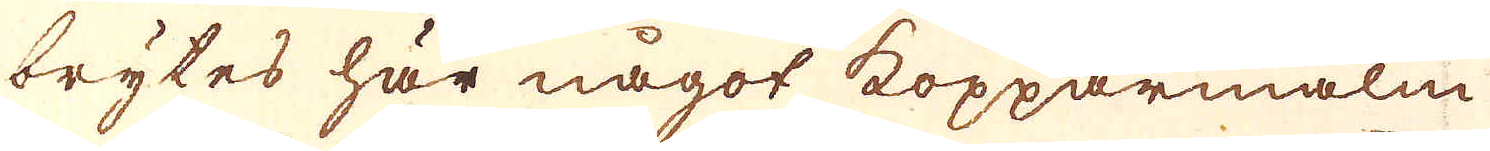brytes här något kopparmalm
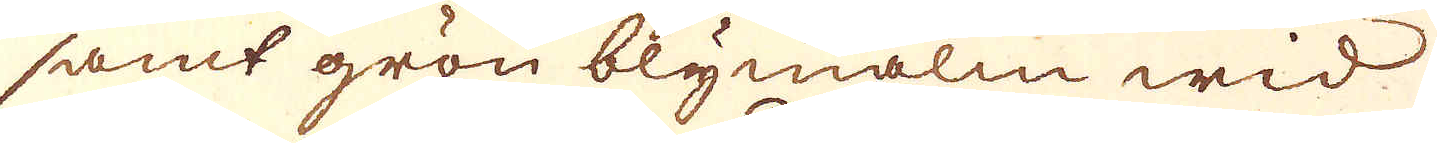samt grön blymalm wid
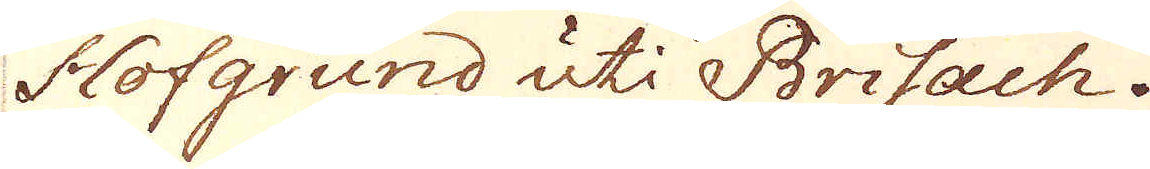Hofgrund uti Brisach.
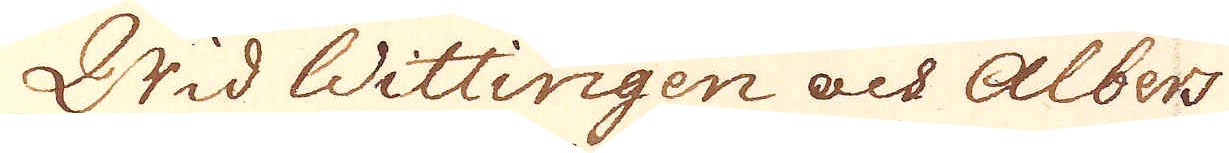Wid Wittingen och Albers
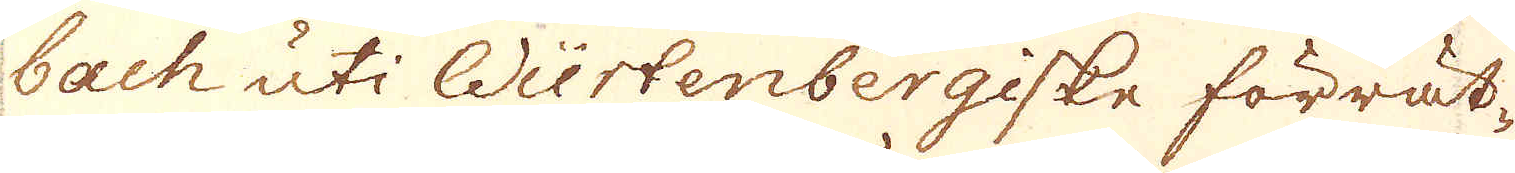bach uti Würtenbergiske förrät-
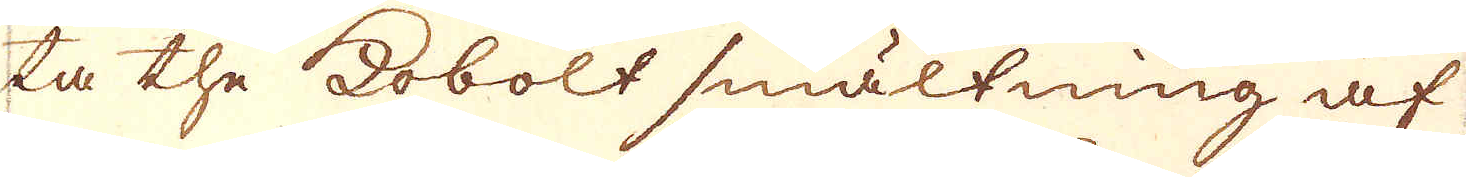ta the Kobolt smältning af
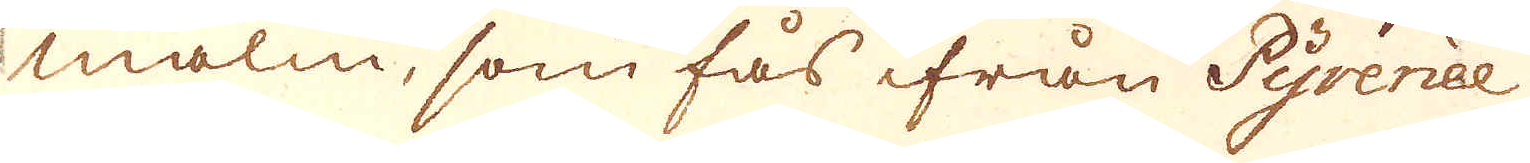malm, som fås ifrån Pyrenèe
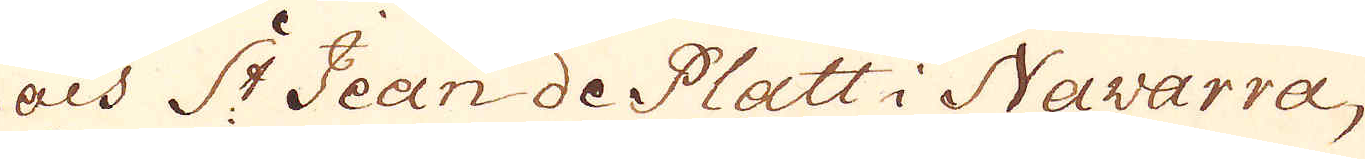och St Jean de Platt i Navarra,
